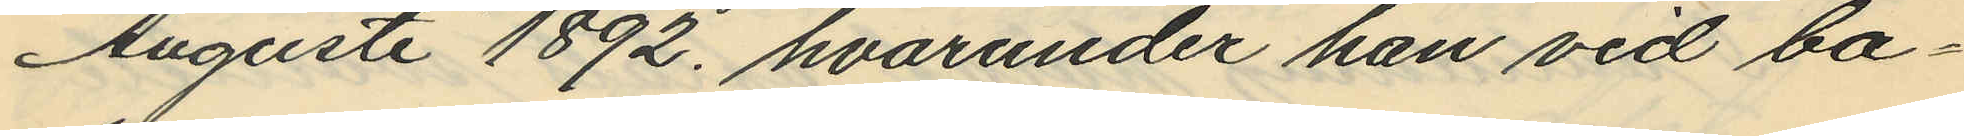Augusti 1892, hvarunder han vid ba¬
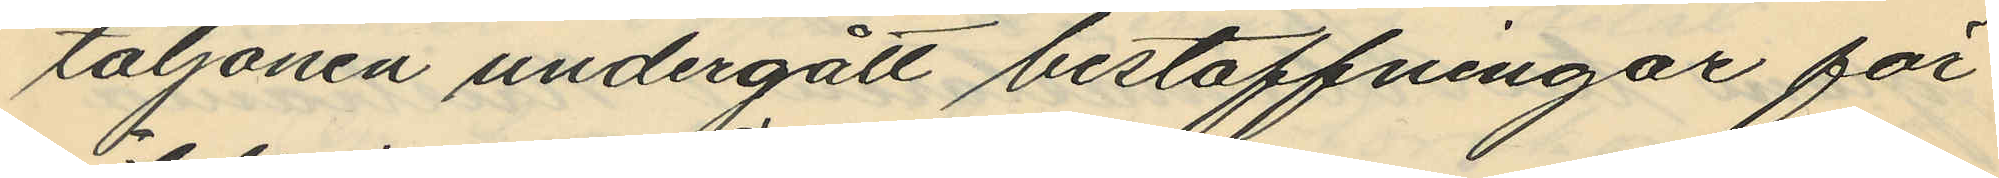taljonen undergått bestraffningar för
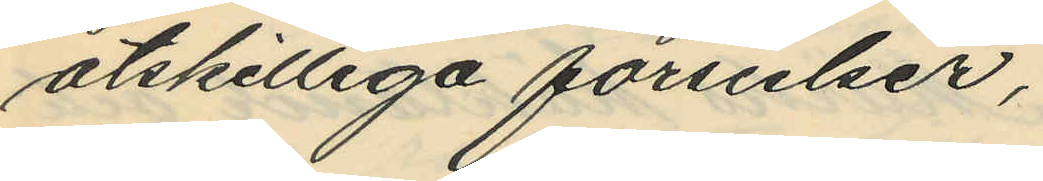åtskilliga förseelser,
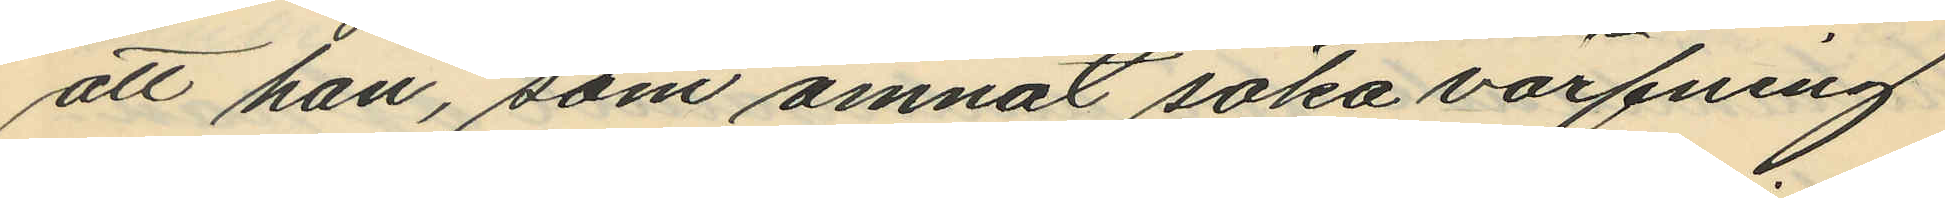att han, som ämnat söka värfning
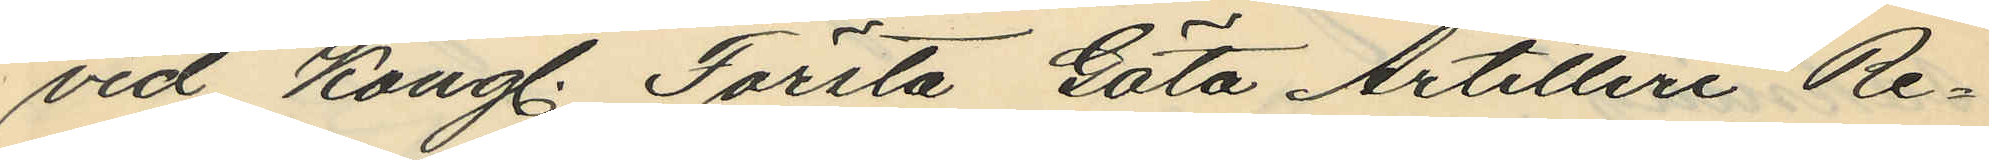vid Kongl. Första Göta Artilleri Re¬
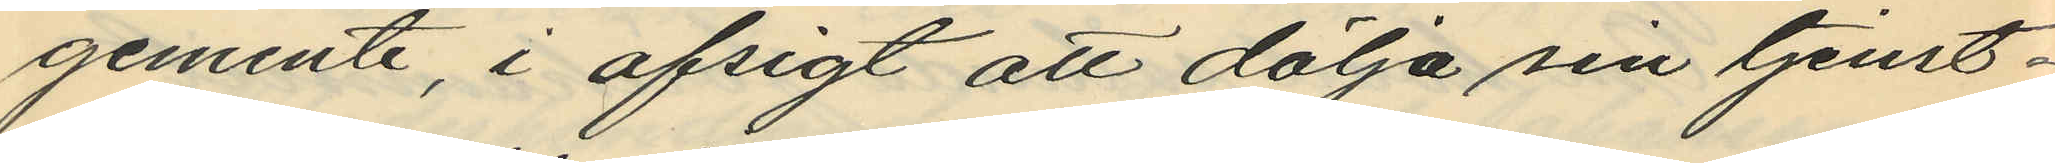gemente, i afsigt att dölja sin tjenst¬
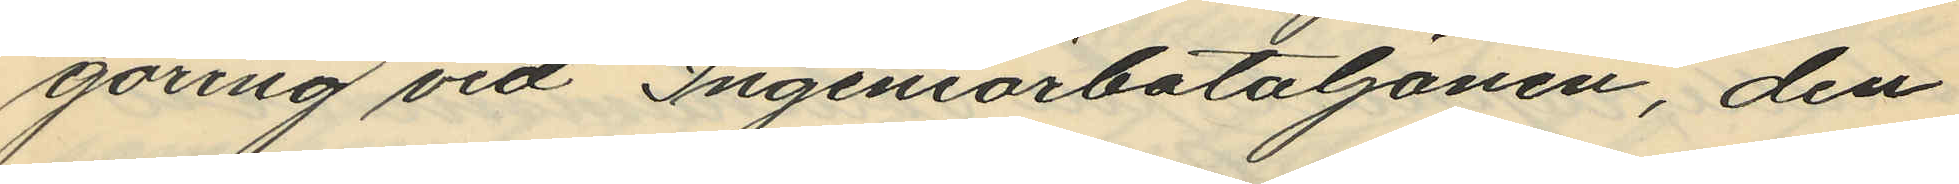göring vid Ingeniörbataljonen, den
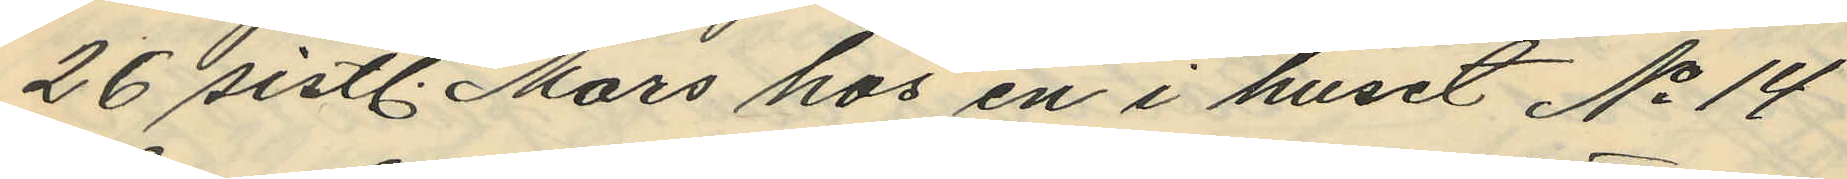26 sistl. Mars hos en i huset No 14
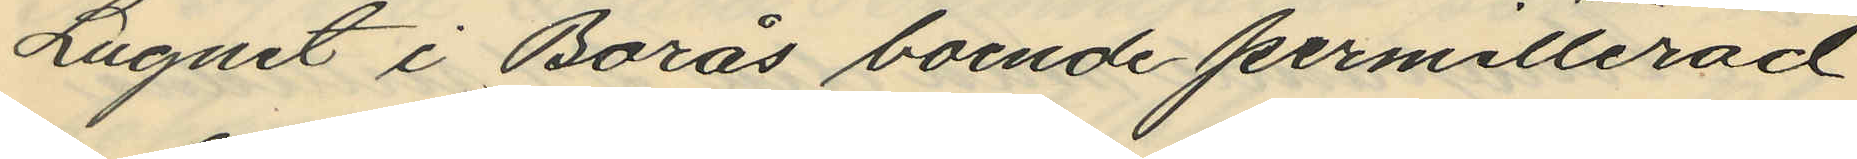Lugnet i Borås boende permitterad
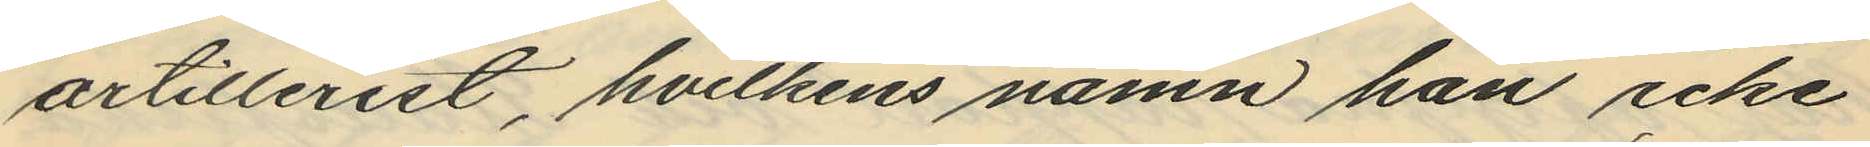artillerist, hvilkens namn han icke
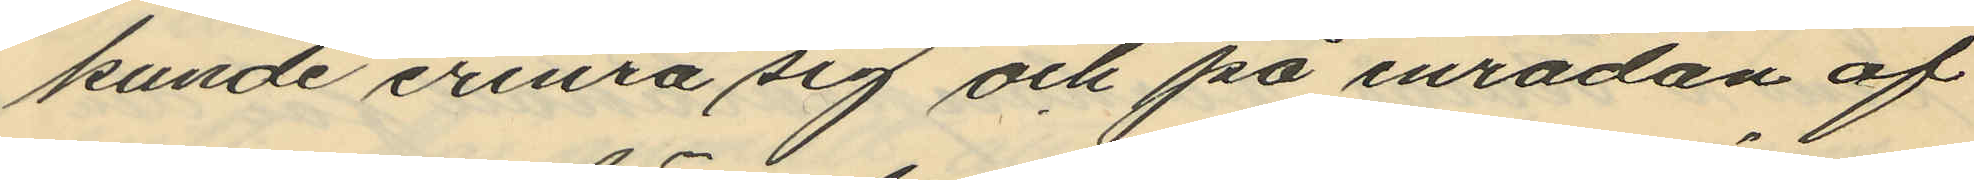kunde erinra sig och på inrådan af
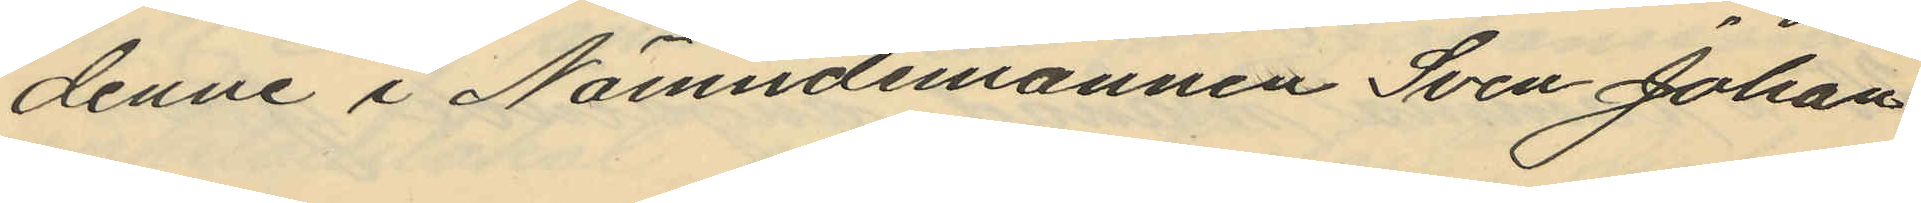denne i Nämndemannen Sven Johan
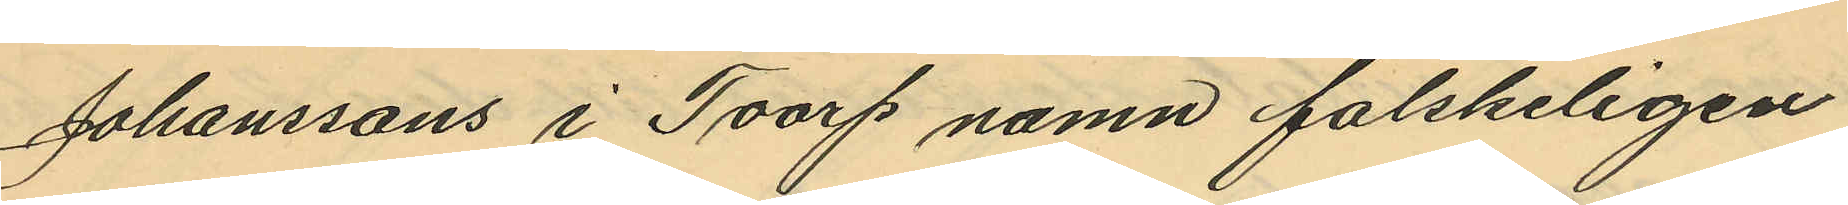Johanssons i Toarp namn falskeligen
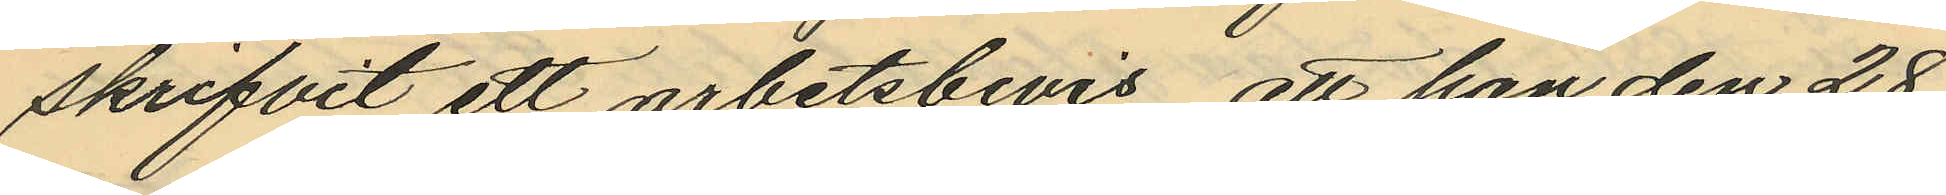skrifvit ett arbetsbevis, att han den 28
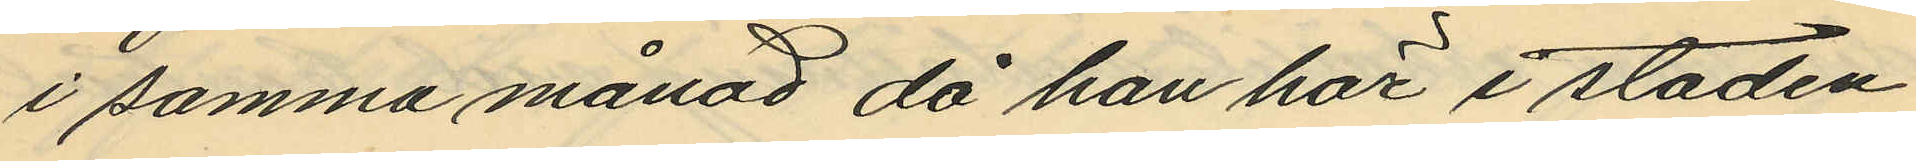i samma månad då han här i staden
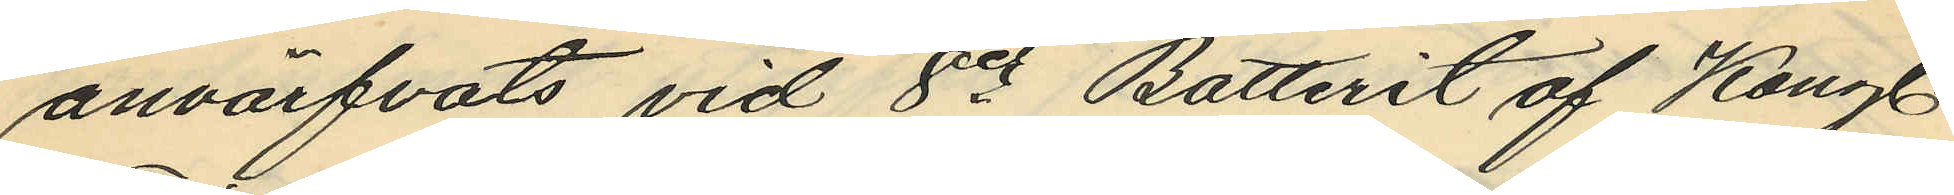anvärfvats vid 8e Batterit af Kongl.
